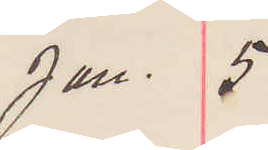Jan. 5
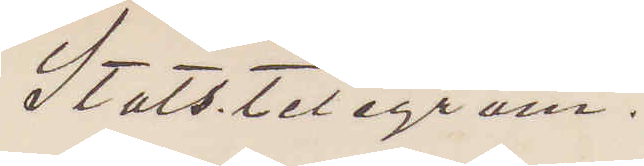Statstelegram.
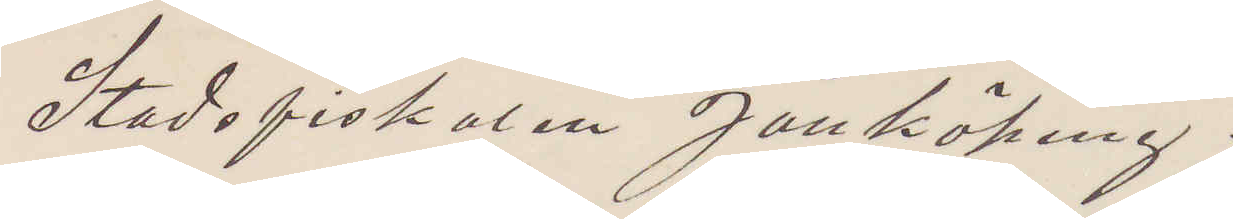Stadsfiskalen Jönköping.
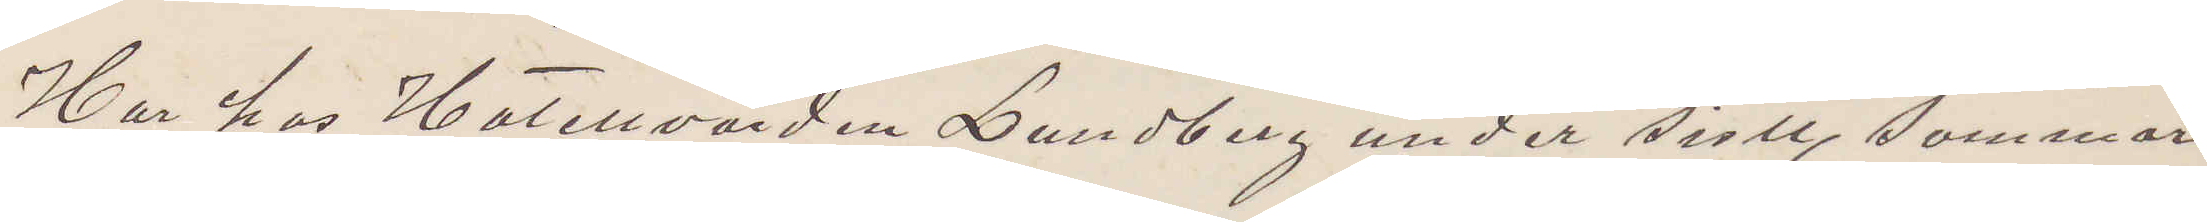Har hos Hotellvärden Lundberg under sistl. sommar
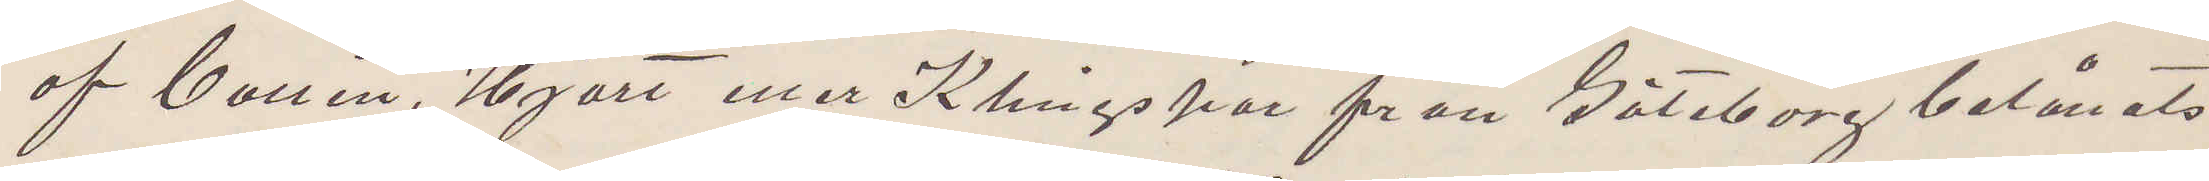af Callén, Hjort eller Klingspor från Göteborg belånats
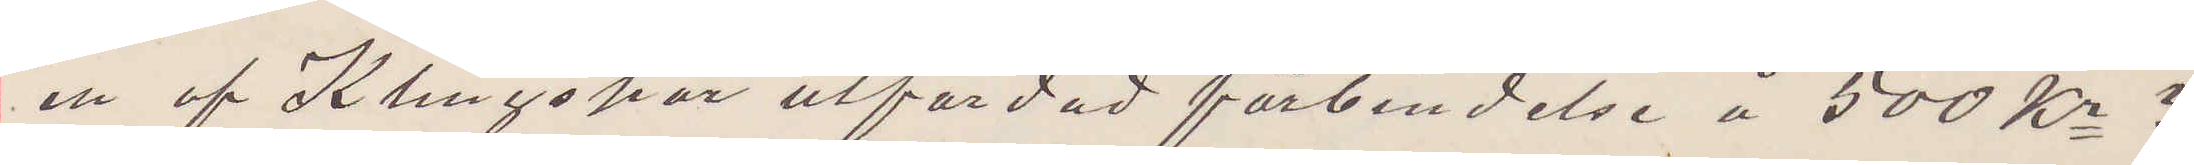en af Klingspar utfärdad förbindelse å 500 Kr?
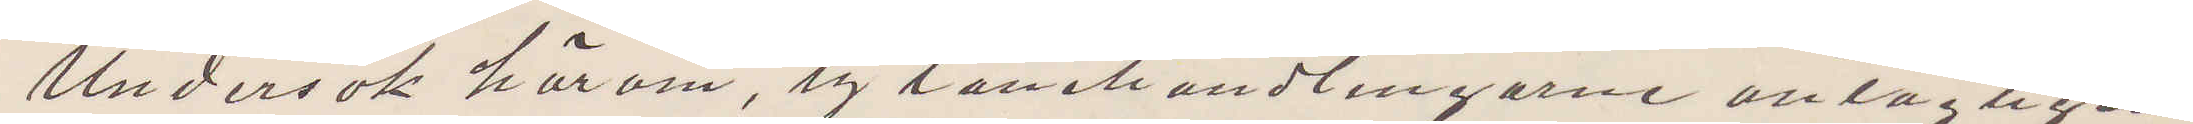Undersök härom, ty lånehandlingarne antagligen
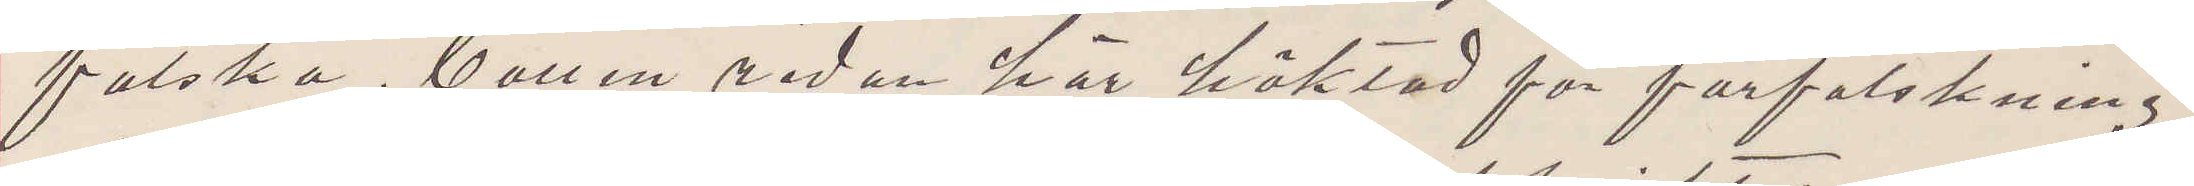falska. Callén redan här häktad för förfalskning.
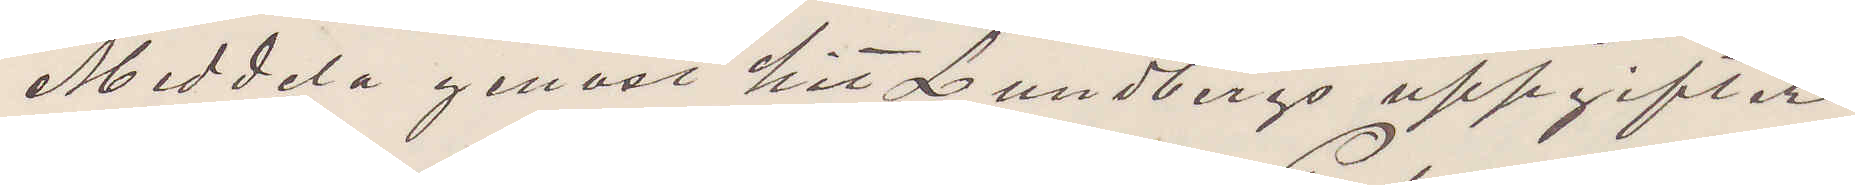Meddela genast hit Lundbergs uppgifter.
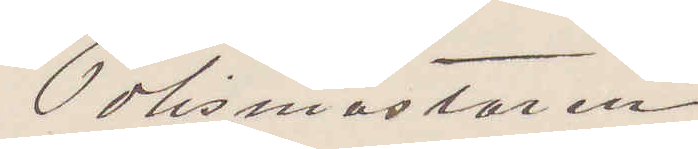Polismästaren
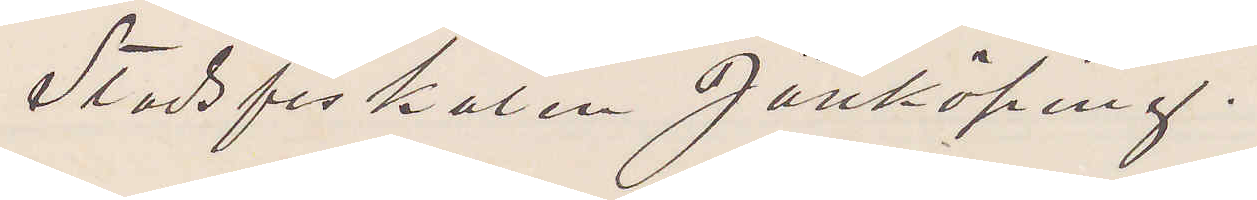Stadsfiskalen Jönköping.
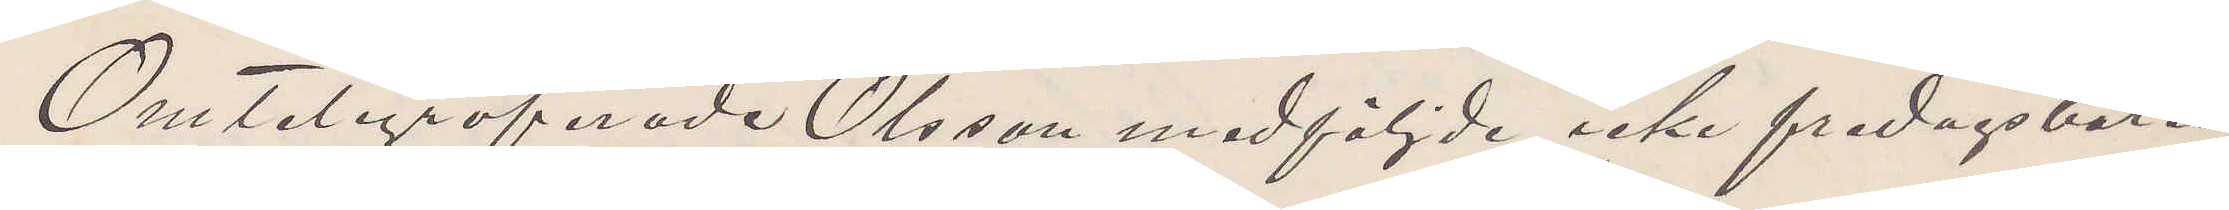Omtelegrafeade Olsson medföljde icke fredagsbåten,
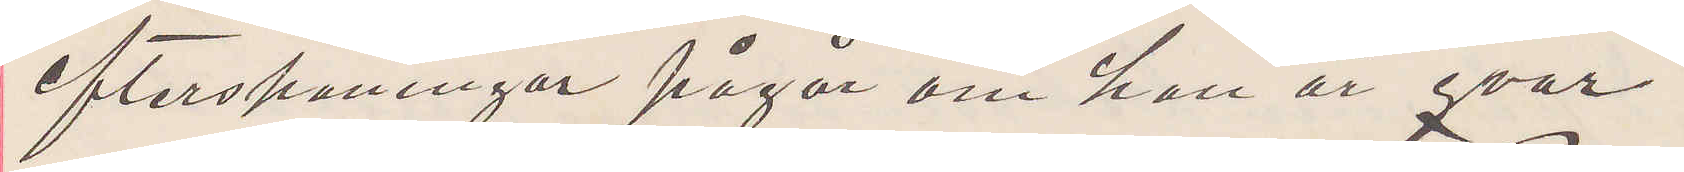efterspaningar pågår om han är qvar.
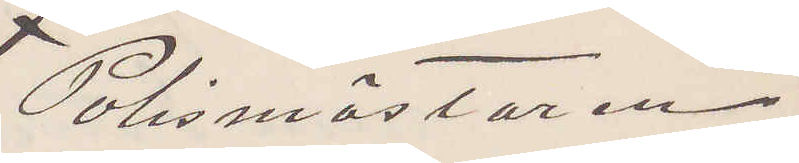Polismästaren
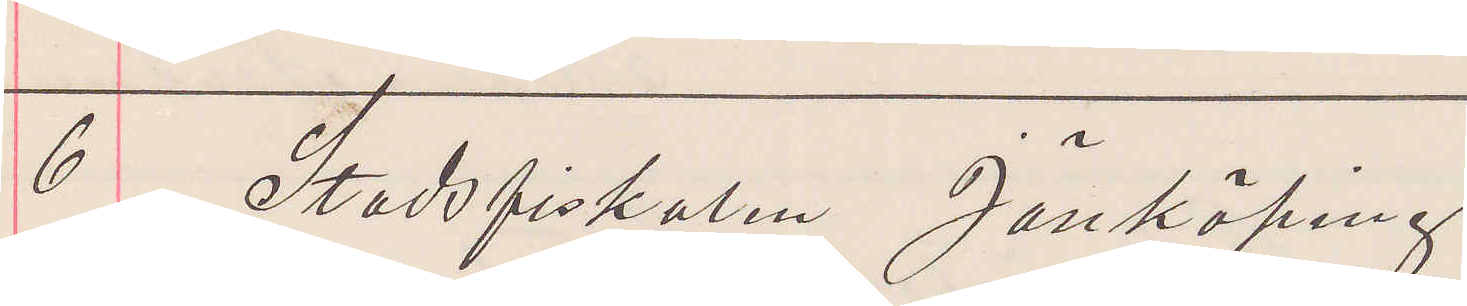6 Stadsfiskalen Jönköping.
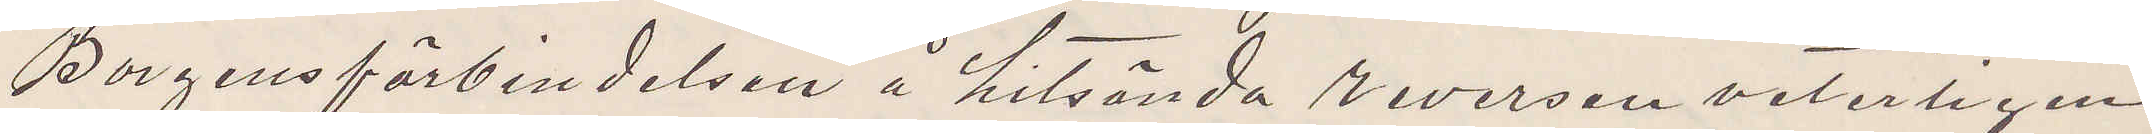Borgensförbindelsen å hitsända reversen veterligen
